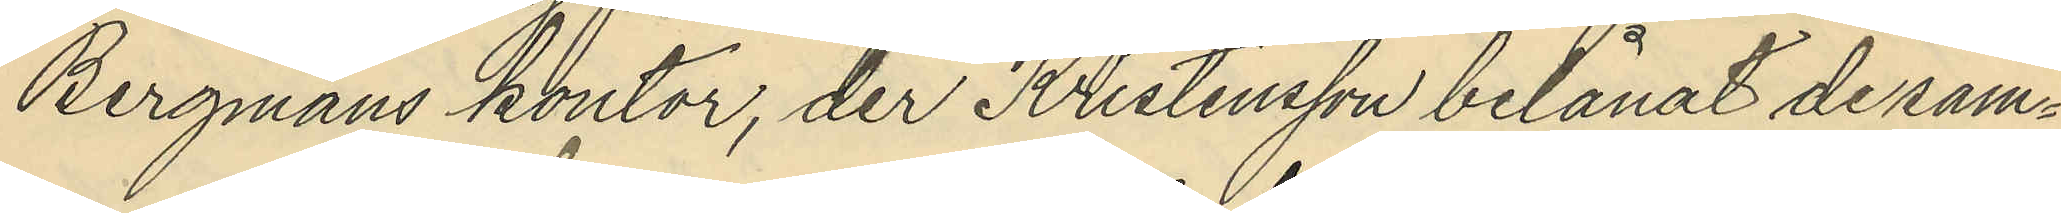Bergmans kontor, der Kristensson belånat desam¬
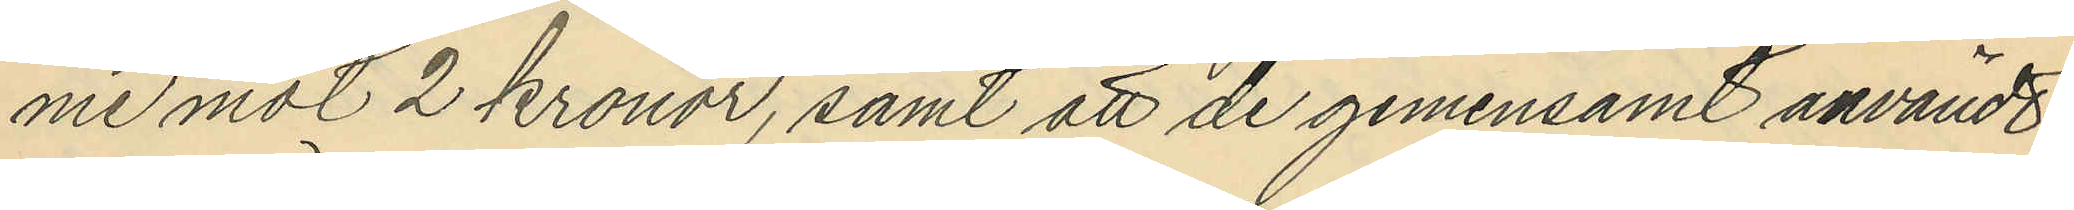me mot 2 kronor, samt att de gemensamt användt
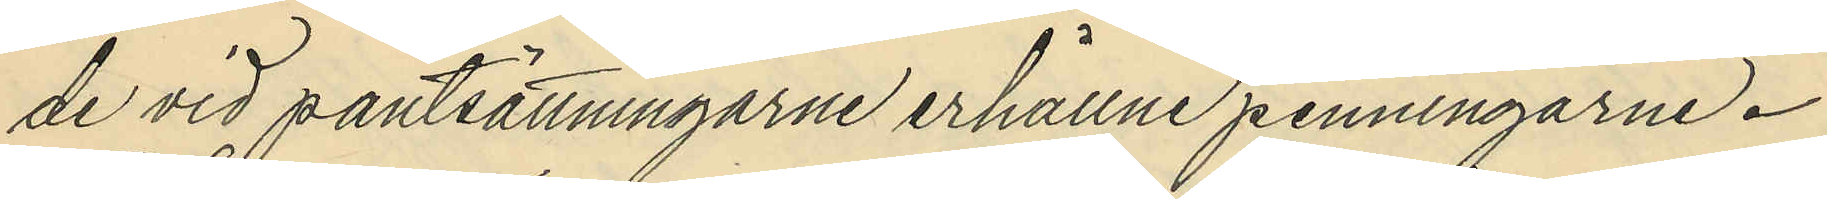de vid pantsättningarne erhållne penningarne.
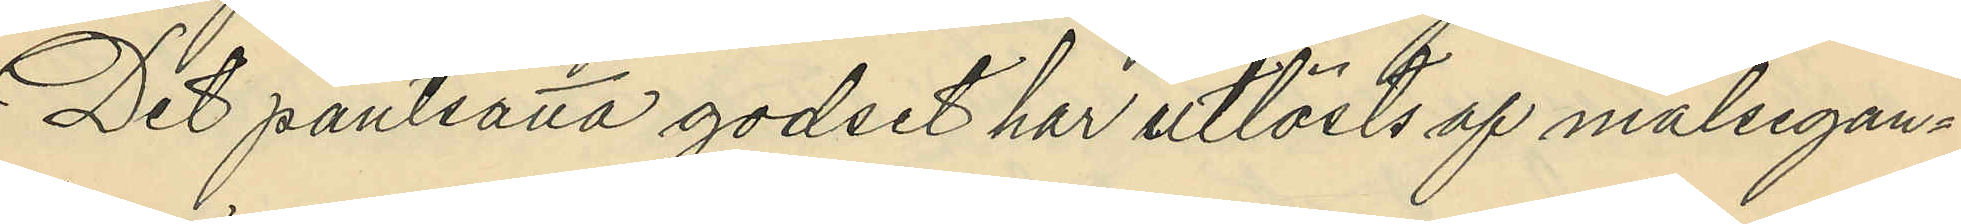Det pantsatta godset har utlösts af målsegan¬
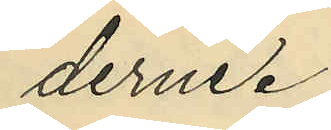derne.
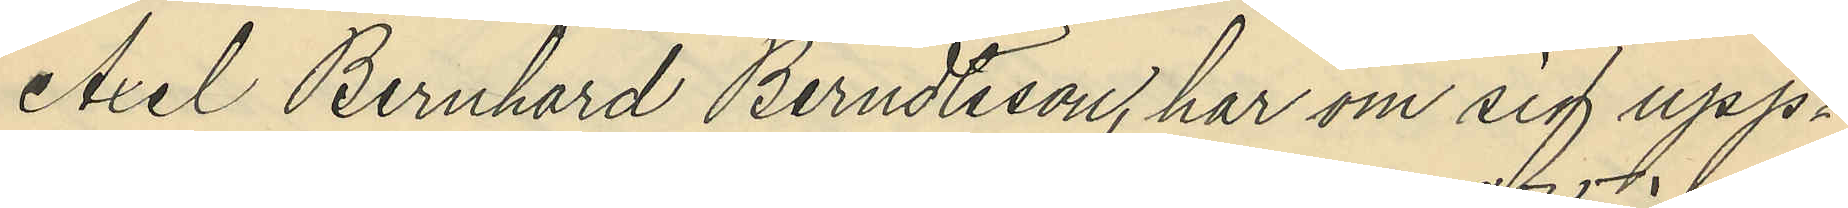Axel Bernhard Berndtsson, har om sig upp¬
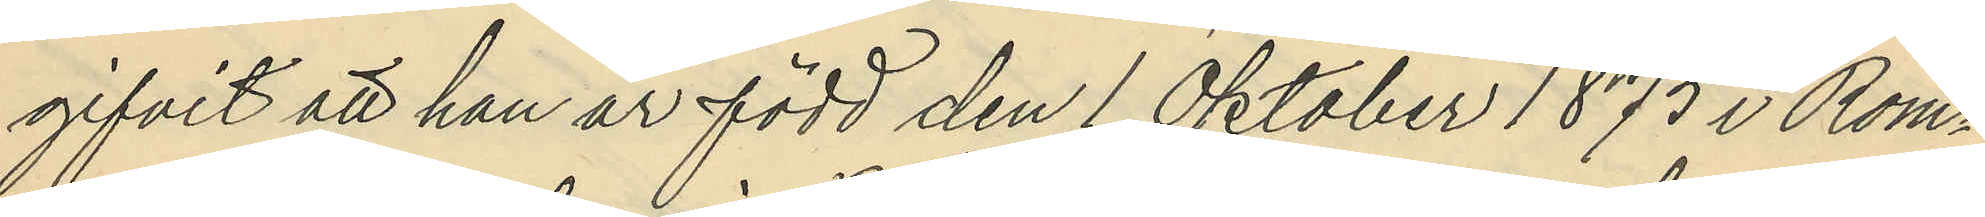gifvit att han är född den 1 Oktober 1875 i Rom¬
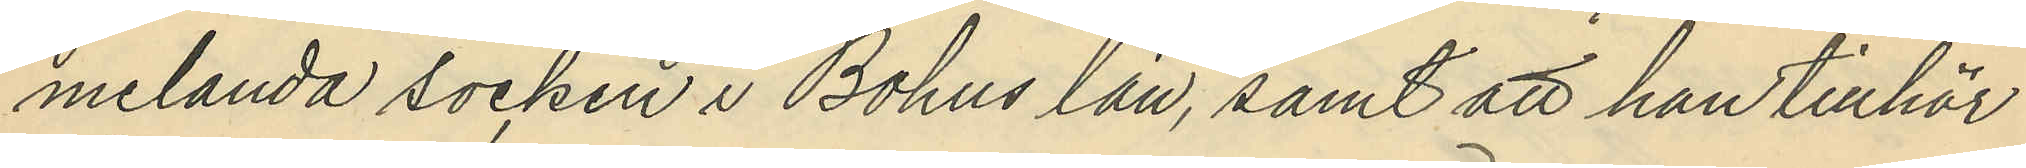melanda socken i Bohus län, samt att han tillhör
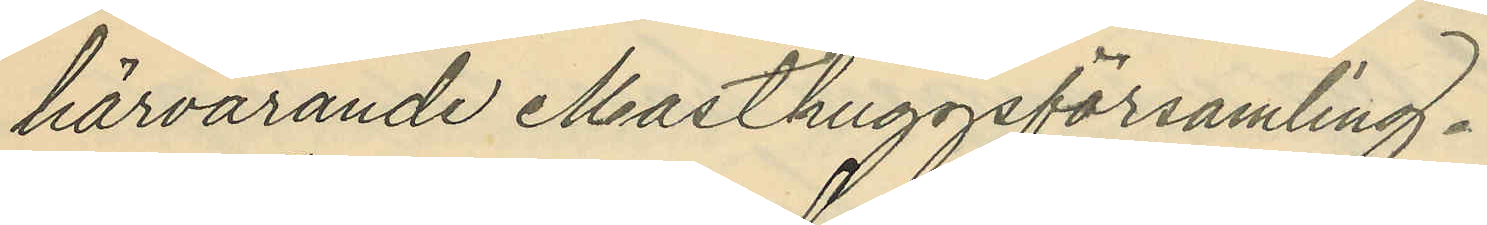härvarande Masthuggsförsamling.
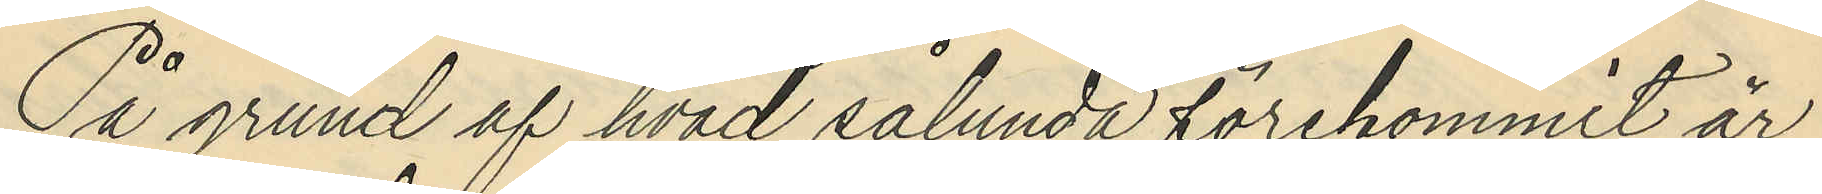På grund af hvad sålunda förekommit är
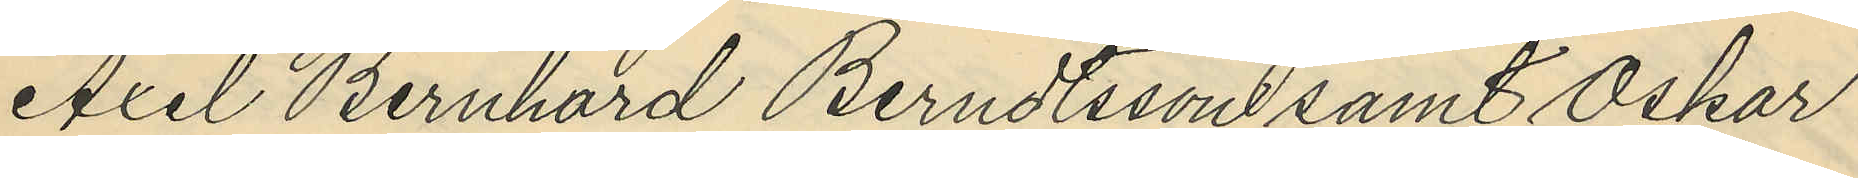Axel Bernhard Berndtsson samt Oskar
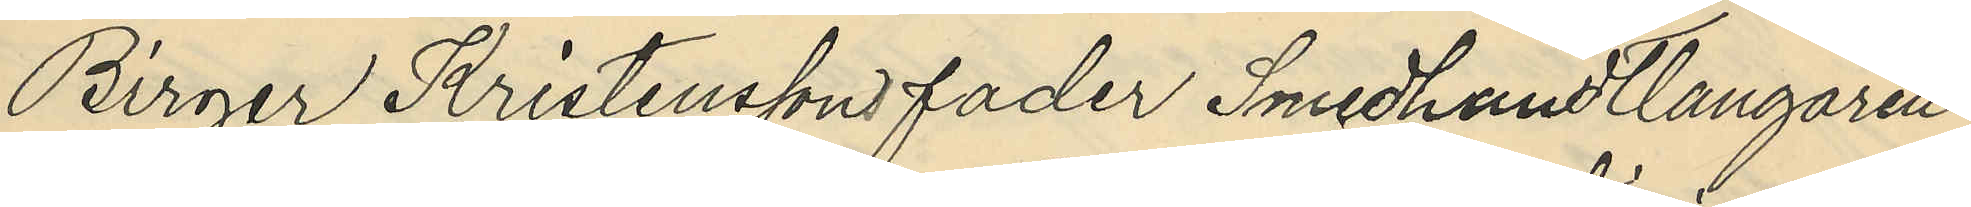Birger Kristenssons fader Smedhandtlangaren
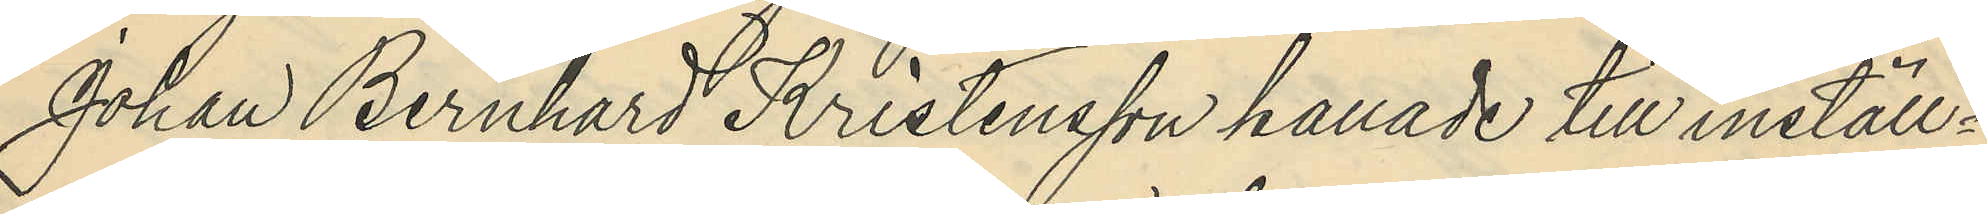Johan Bernhard Kristensson kallade till inställ¬
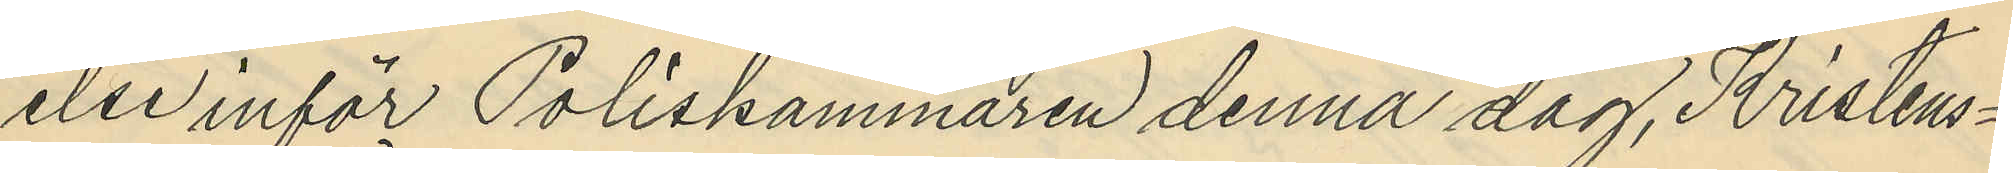else inför Poliskammaren denna dag, Kristens¬
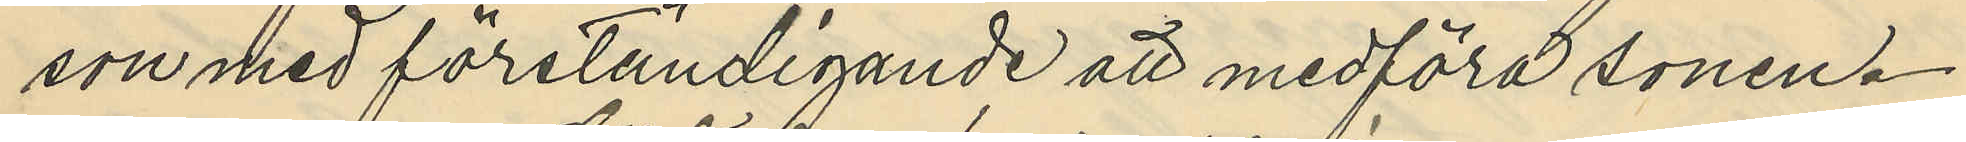son med förständigande att medföra sonen.
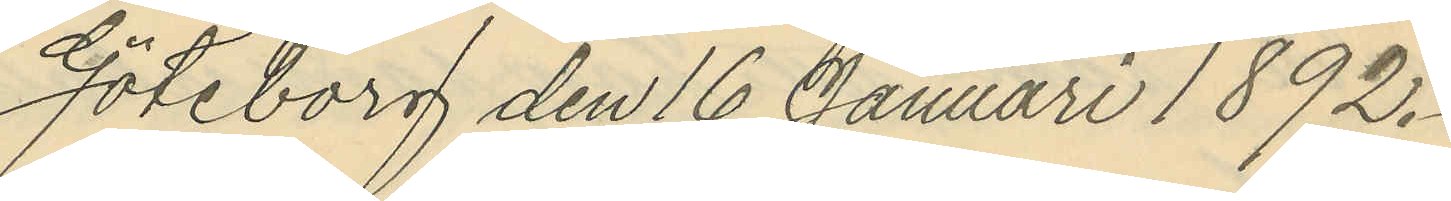Göteborg den 16 Januari 1892.
